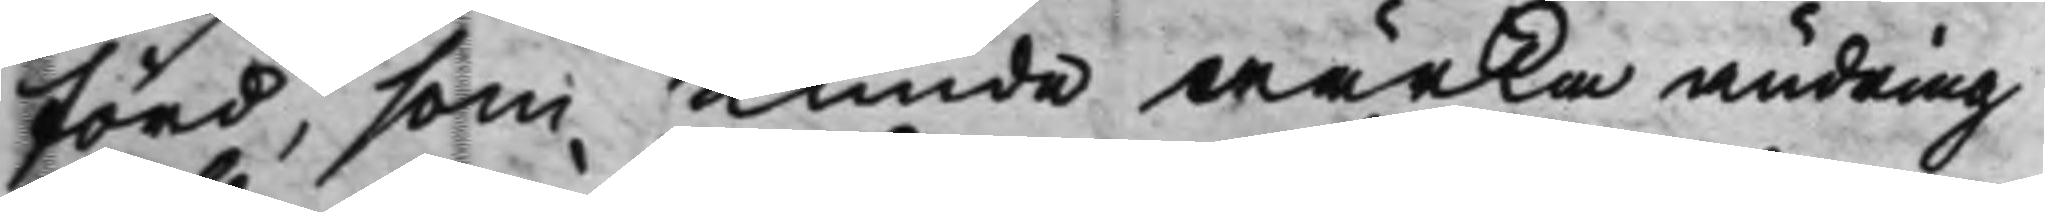förd, som Kunde wärka ändring
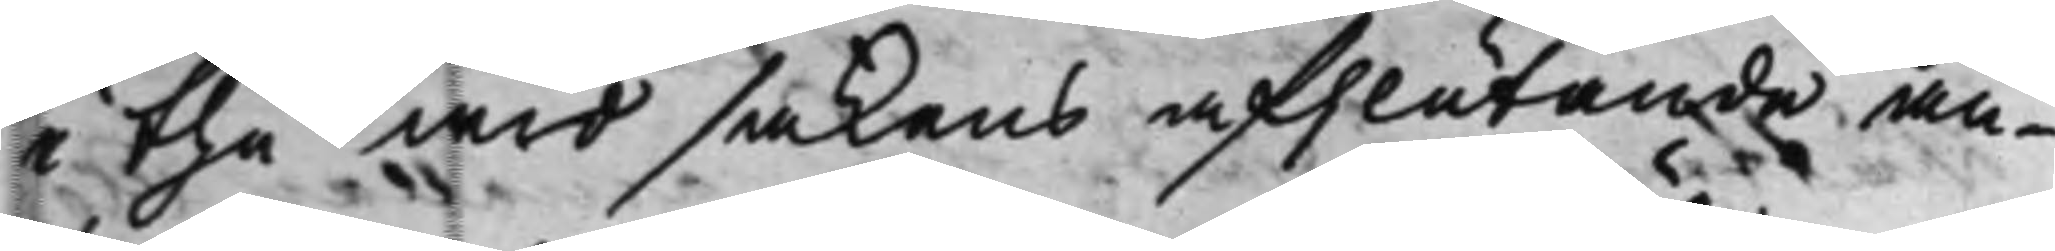i the wid sakens afslutande an¬
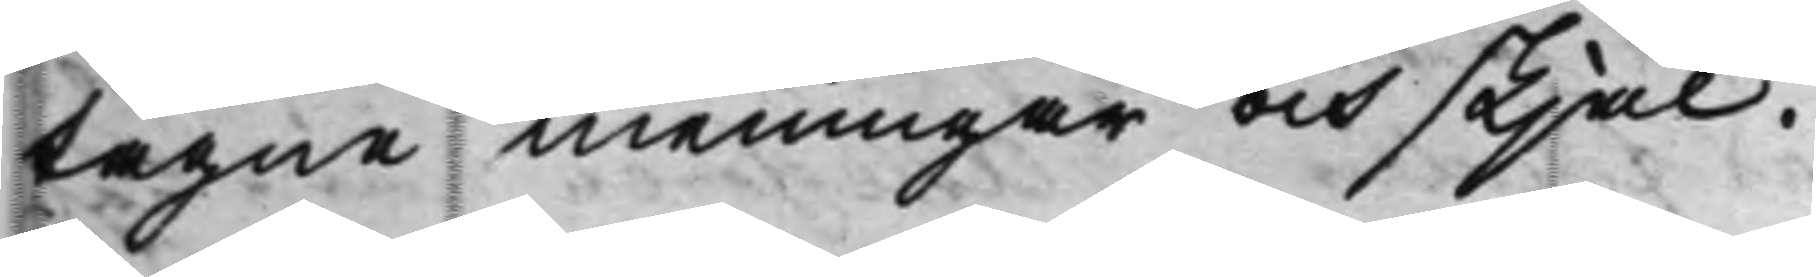tagne meningar och skjäl.
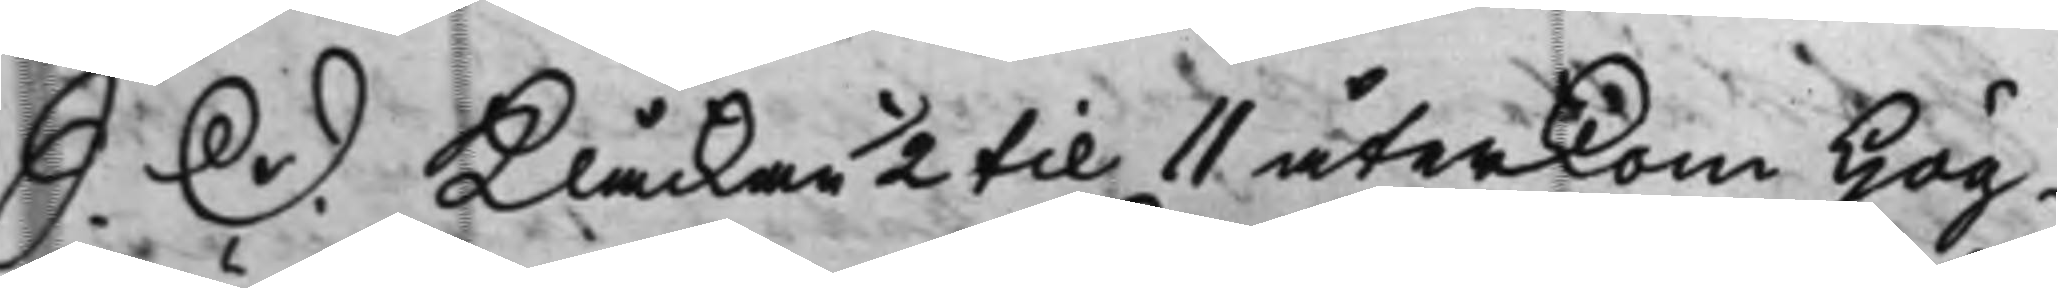S. D. Klåckan ½ til 11 återkom Hög¬
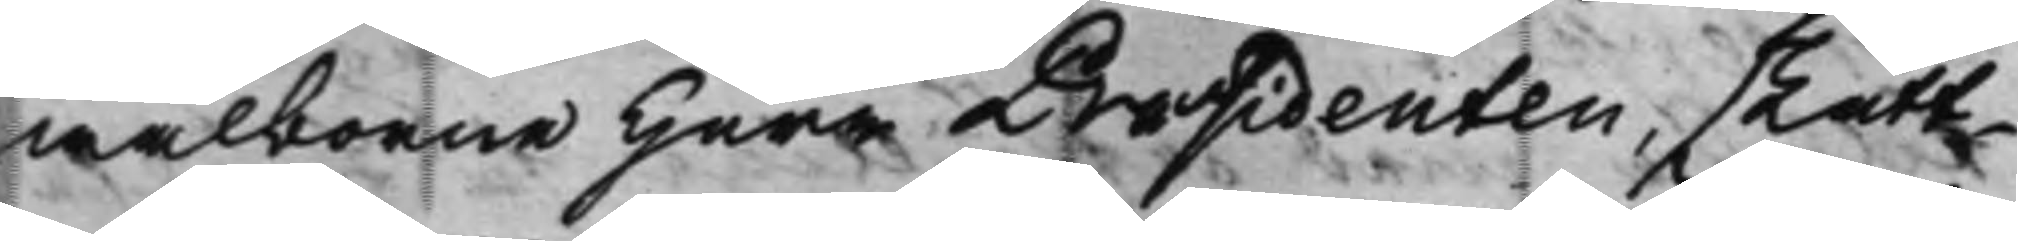wälborne Herr Præsidenten, skatt¬
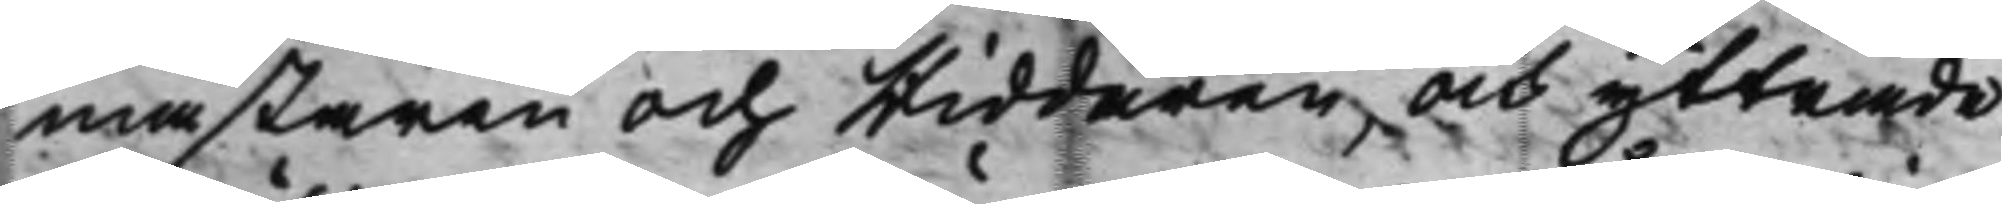mästaren och Riddaren, och yttrade
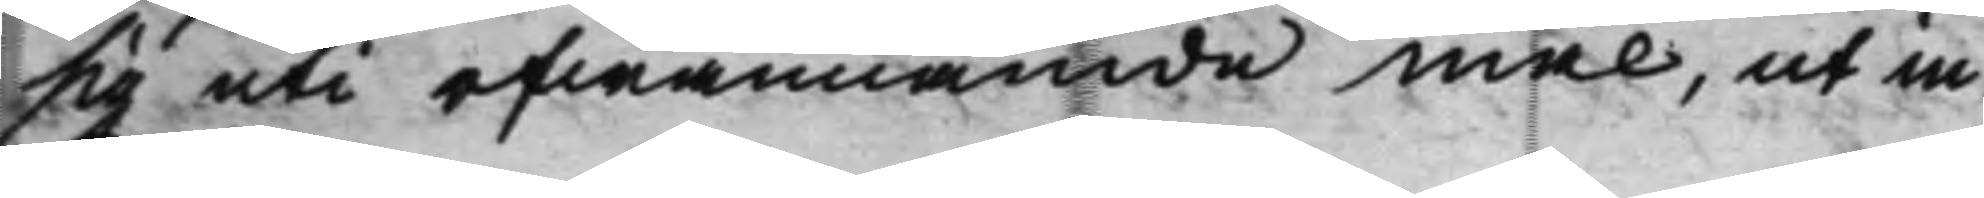sig uti ofwannämde mål, ut in
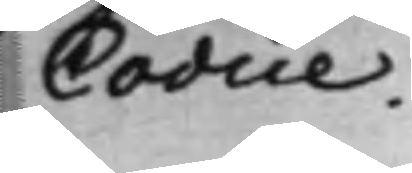Codice.
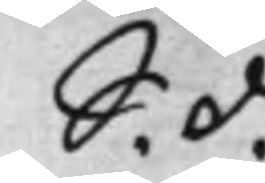S. d.
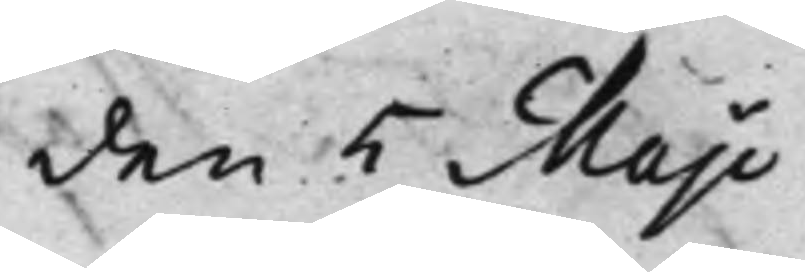den 5 Maji
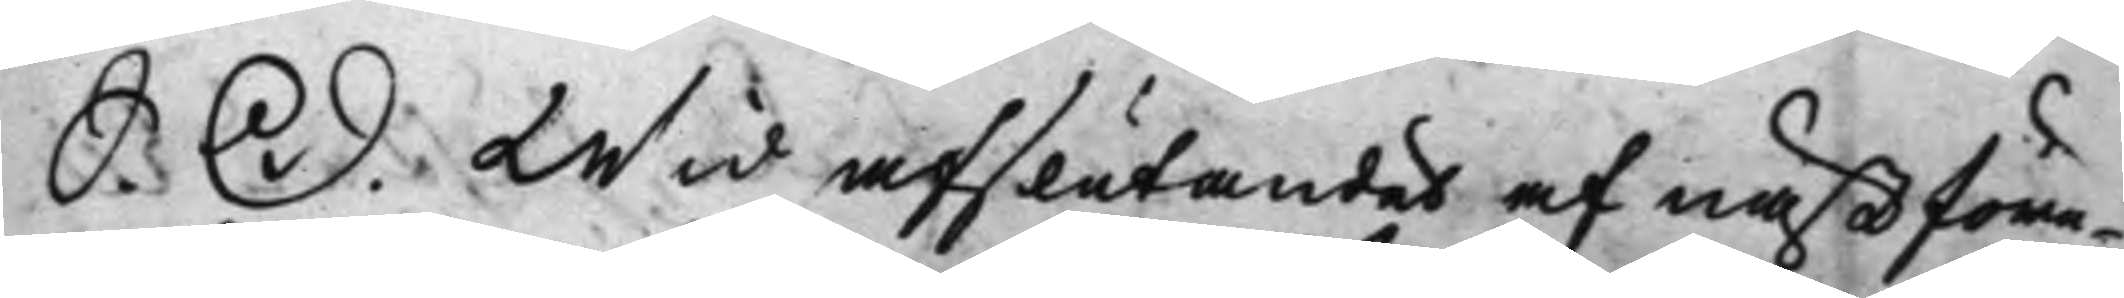S. D. Wid afslutandet af nästföre¬
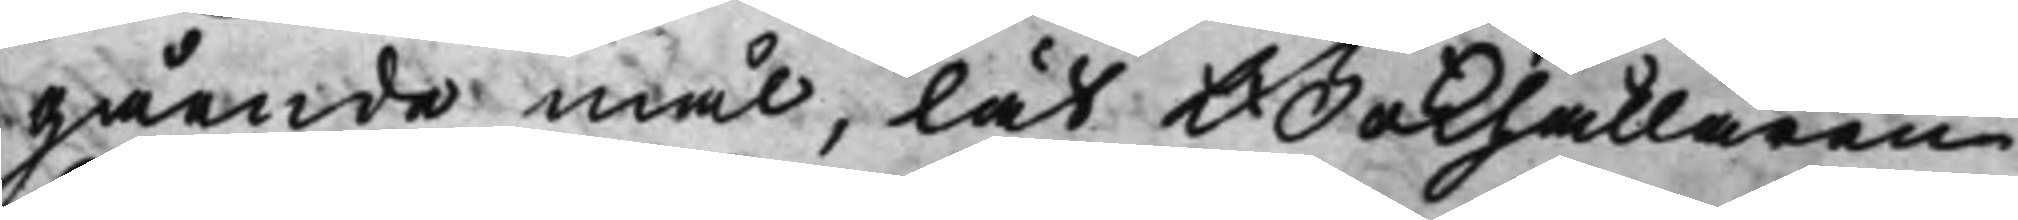gående mål, lät Bokhållaren
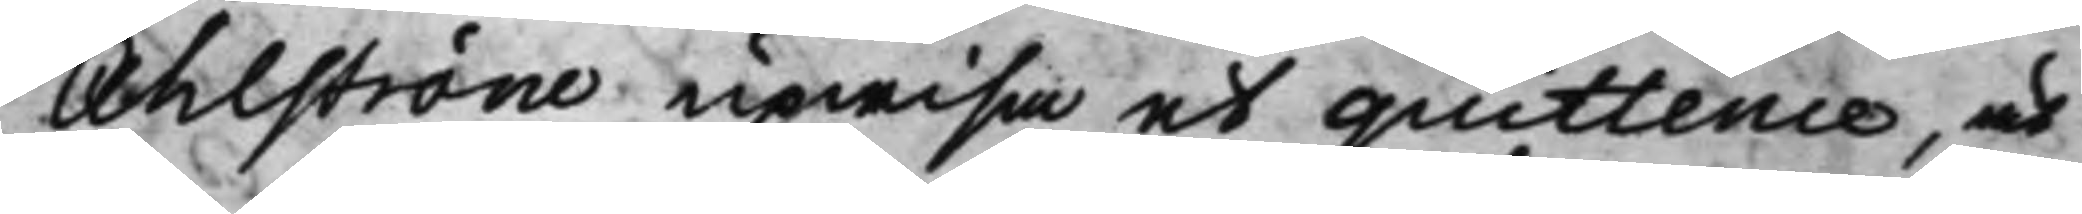Ahlström upwisa et quittence, at
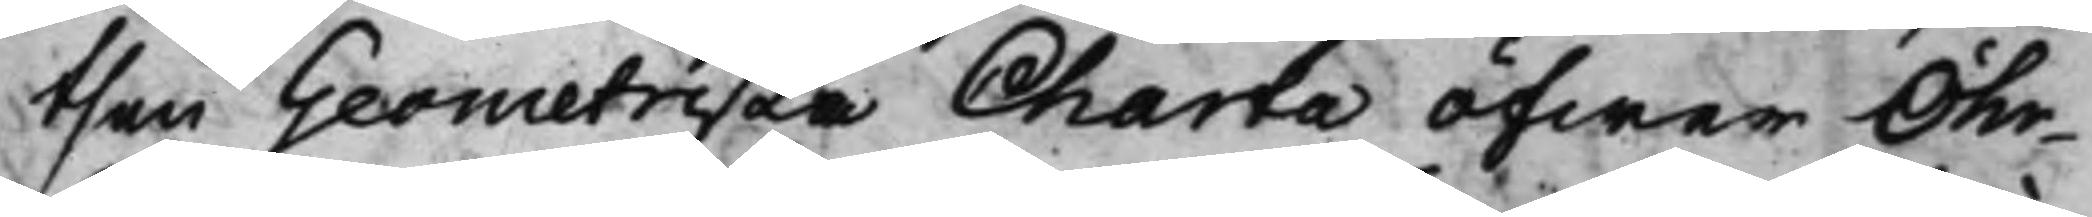then Geometriska Charta öfwer Öhr¬
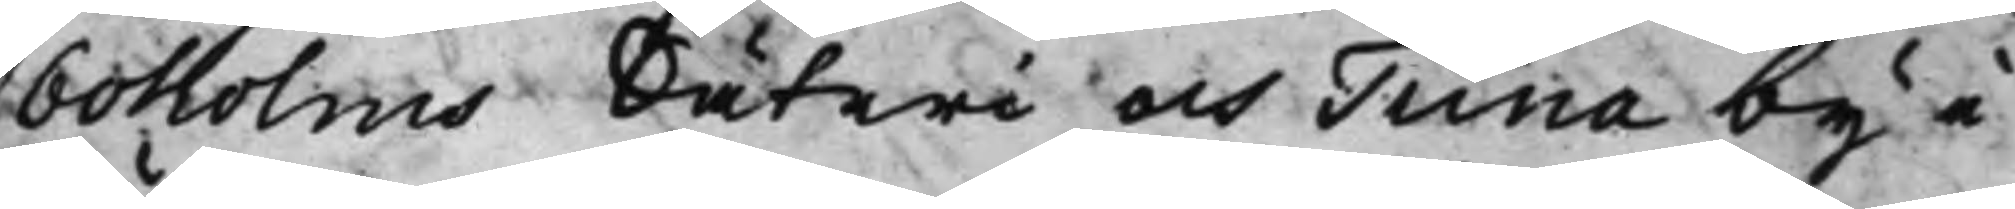boholms Säteri och Tuna by i
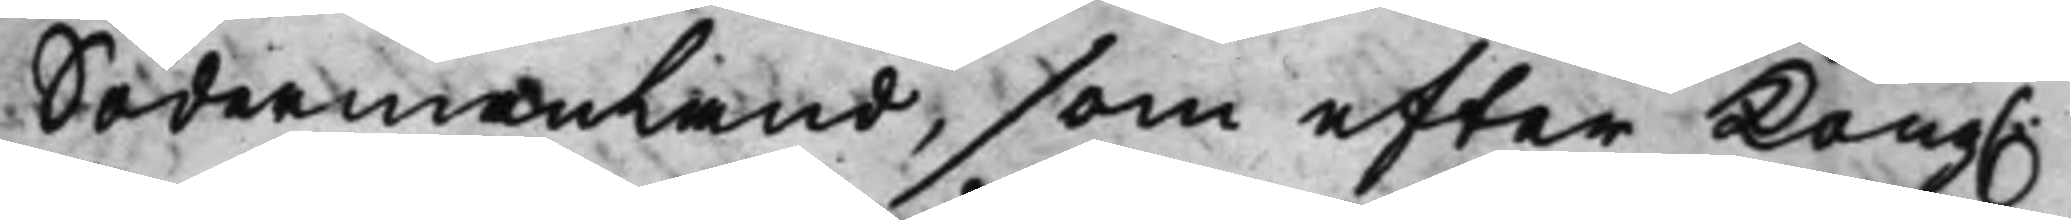Södermanland, som efter Kong.
